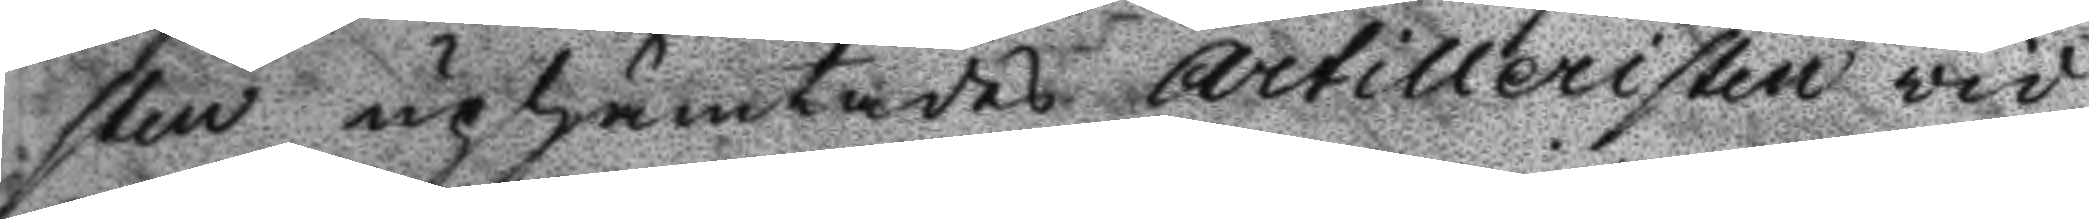sten uphämtades Artilleristen vid
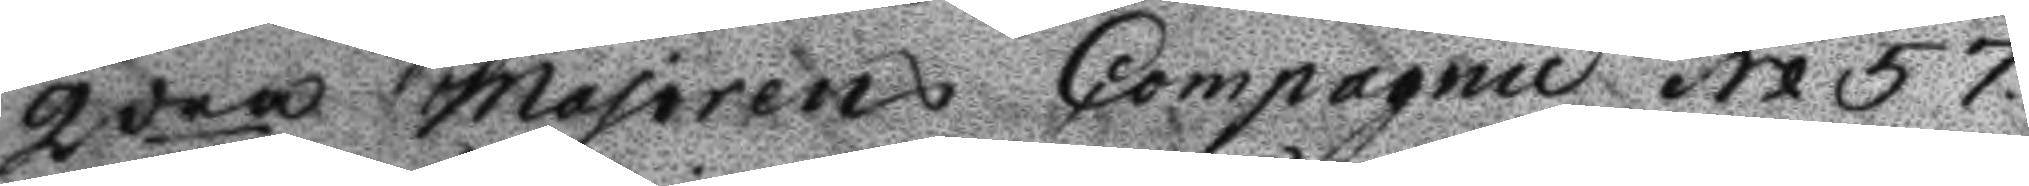2dra Majorens Compagnie No 57
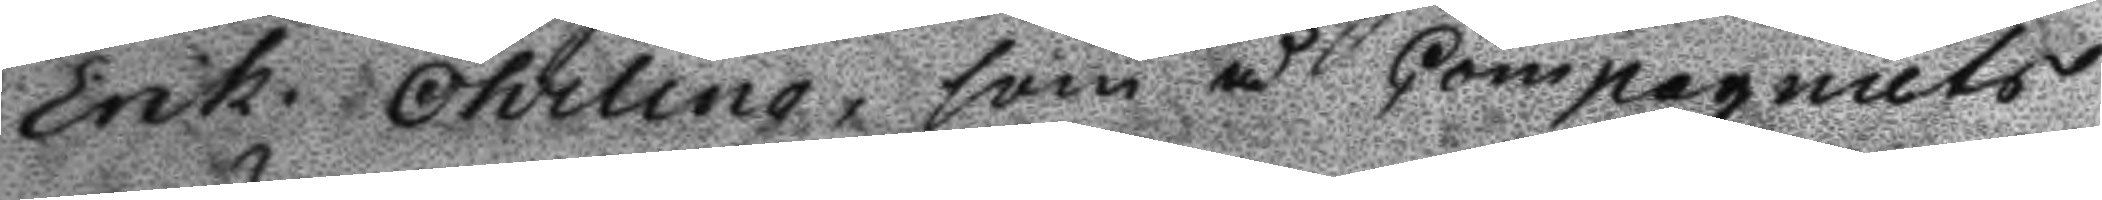Erik Öhrling, som å Compagniets
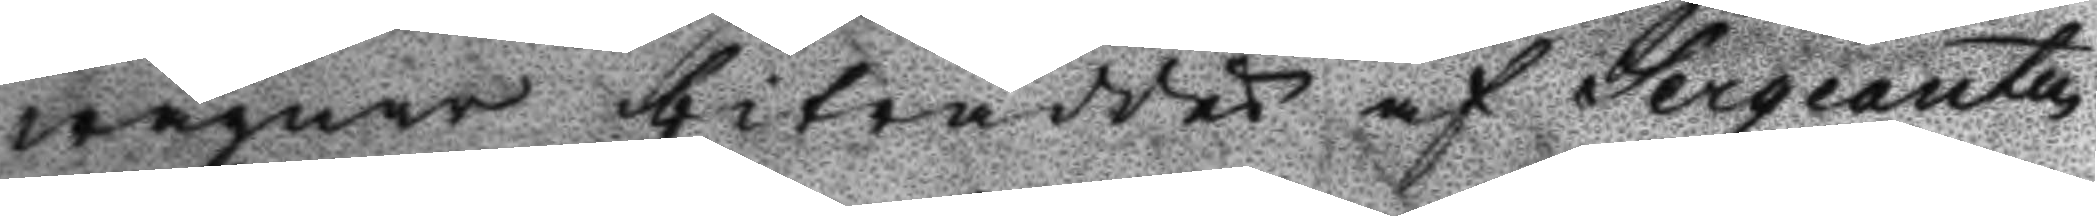wägnar biträddes af Sergeanten
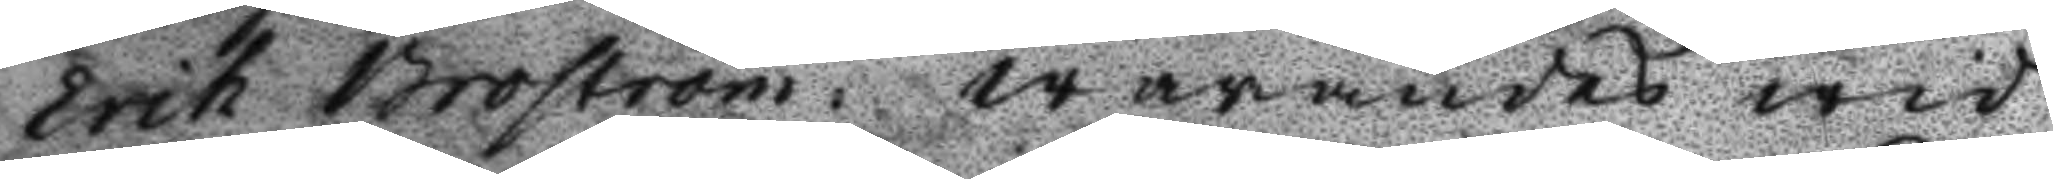Erik Broström: warandes wid
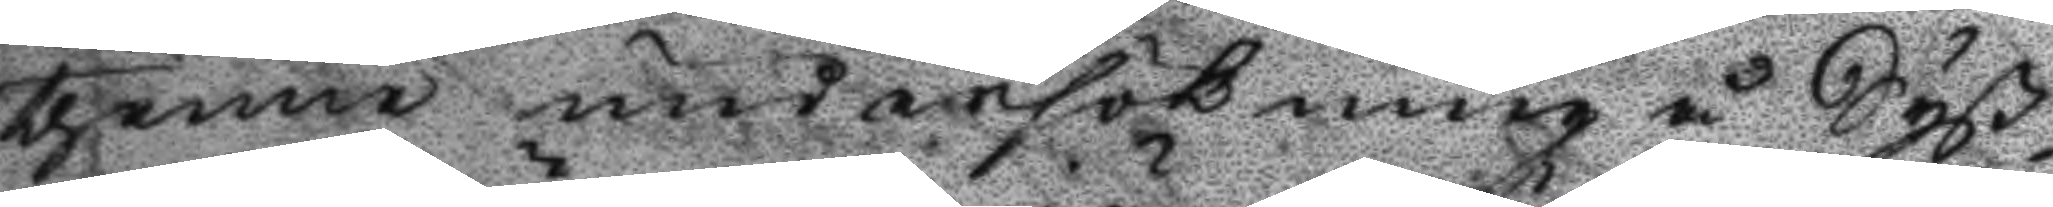thenne undersökning å Syß¬
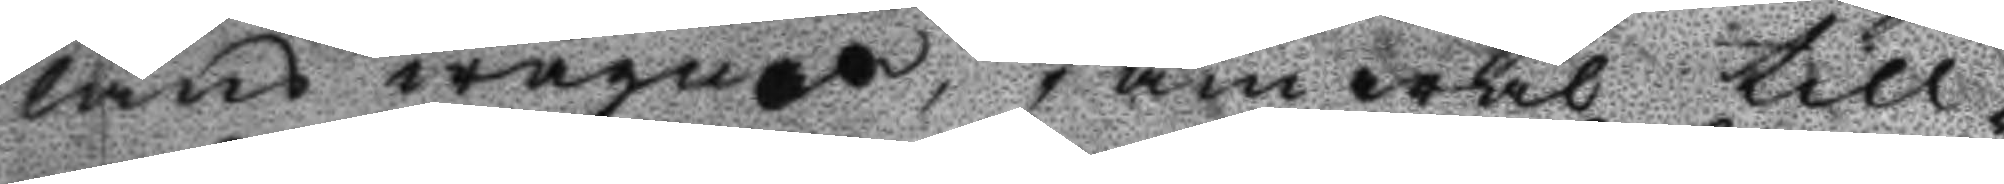lans wägnar, jämwaö till¬
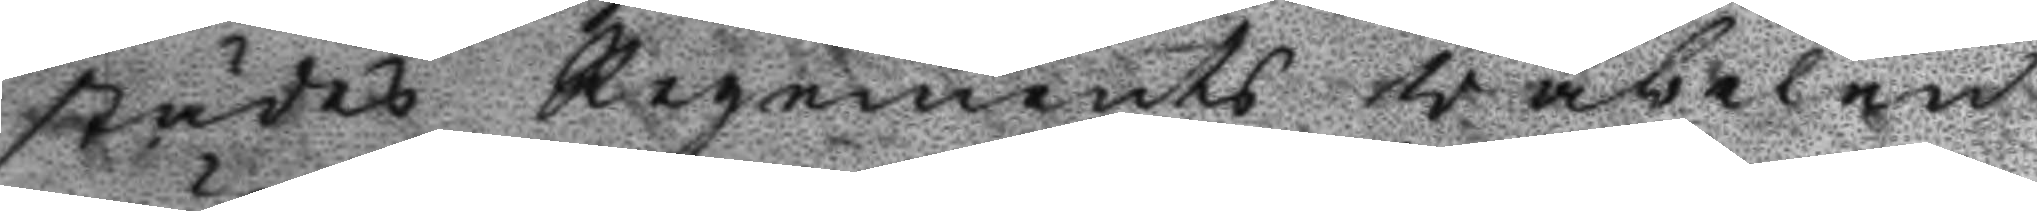städes Regements väbelen
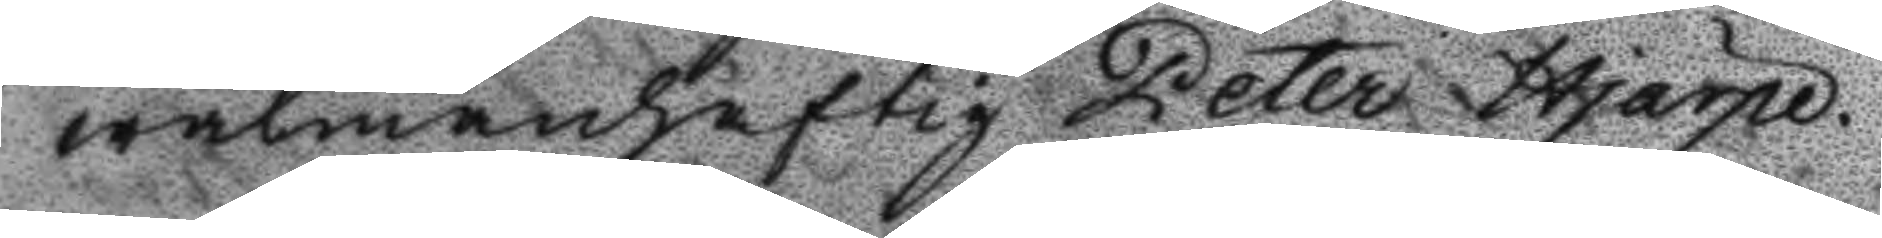wälmanhaftig Petter Hjärpe.
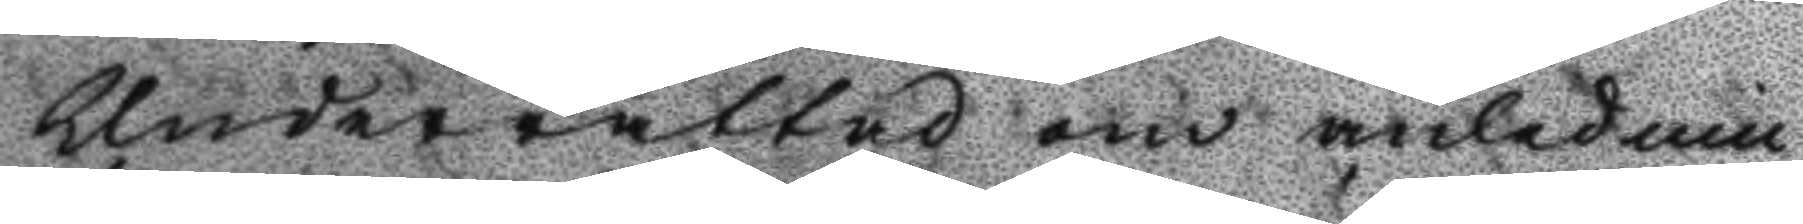Underrättad om anlednin¬
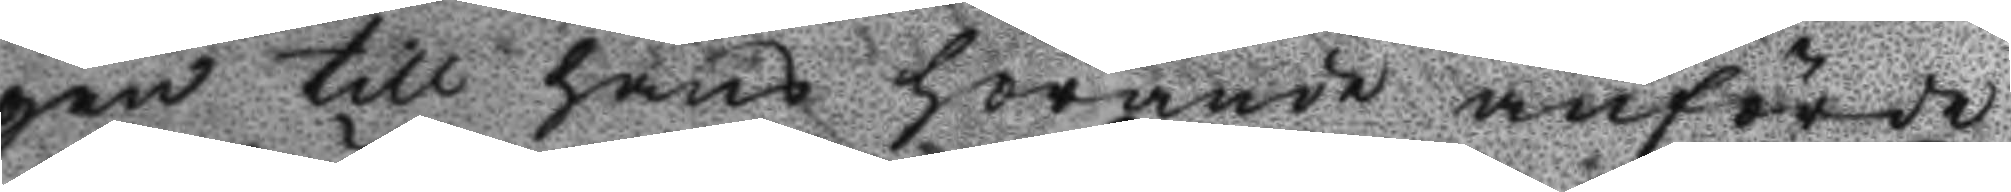gen till hans hörande anförde
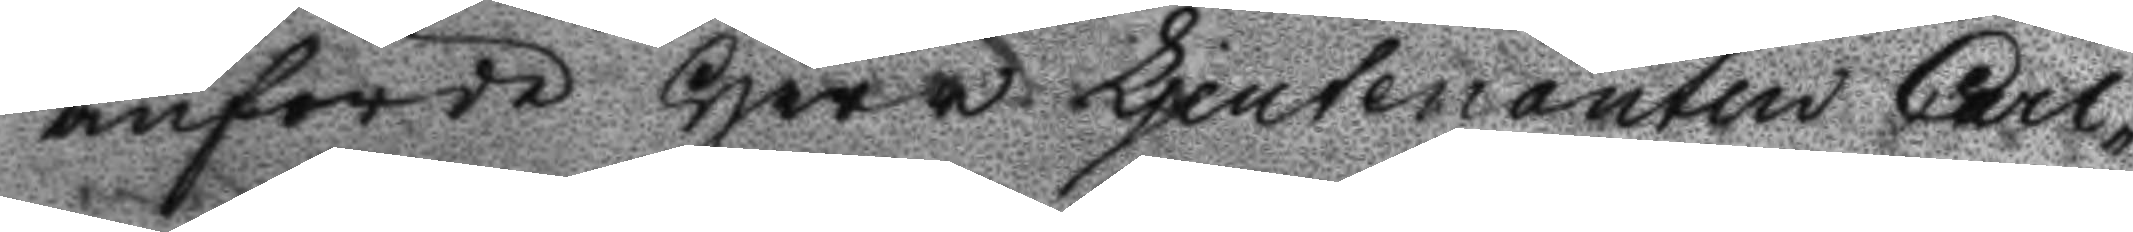anförde Herr Ljeutenanten Carl¬
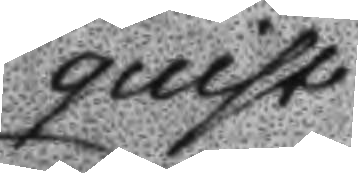quist
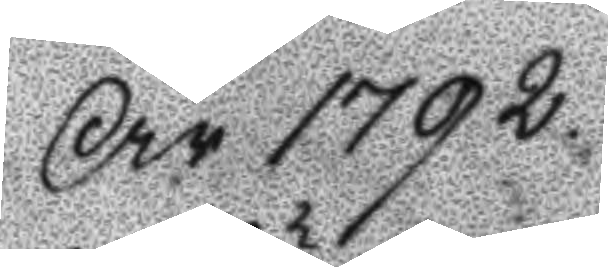År 1792
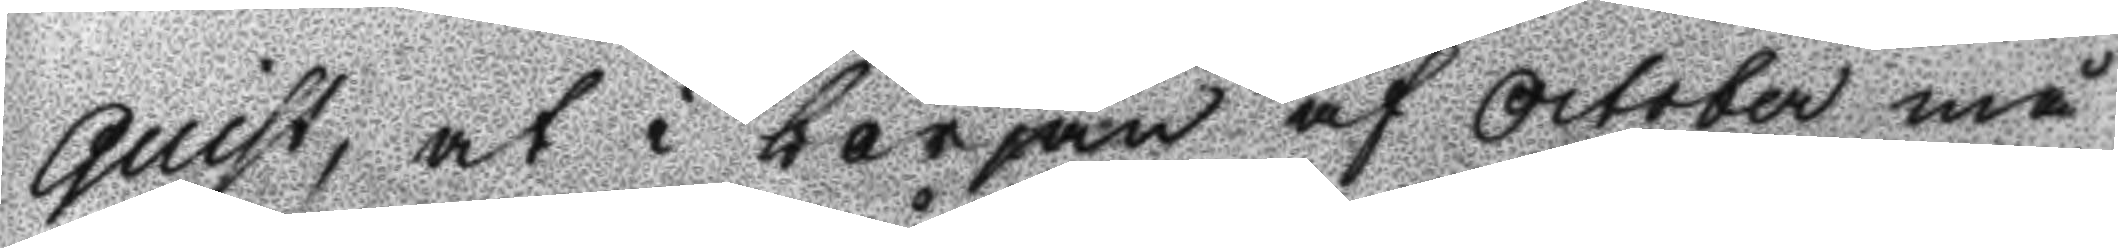quist, at i början af October må
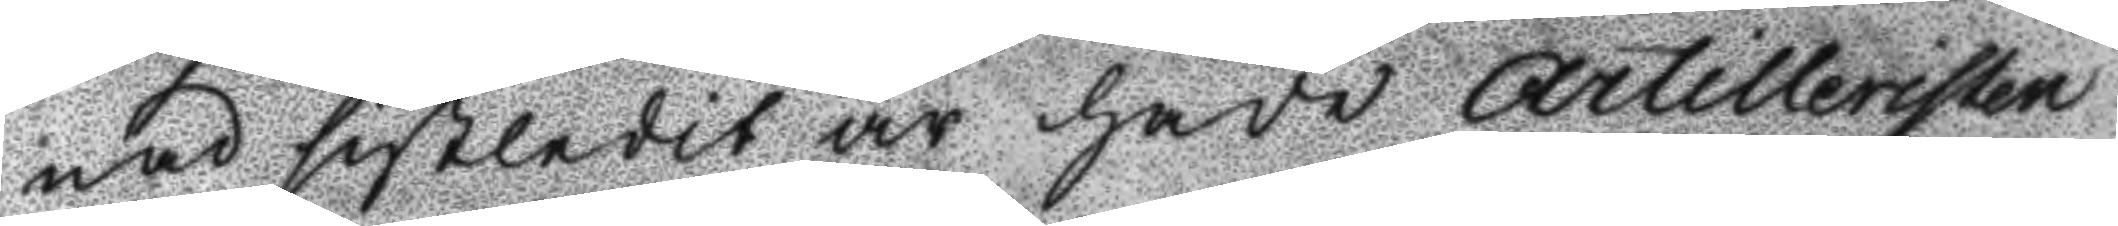nad sistledit år hade Artilleristen
